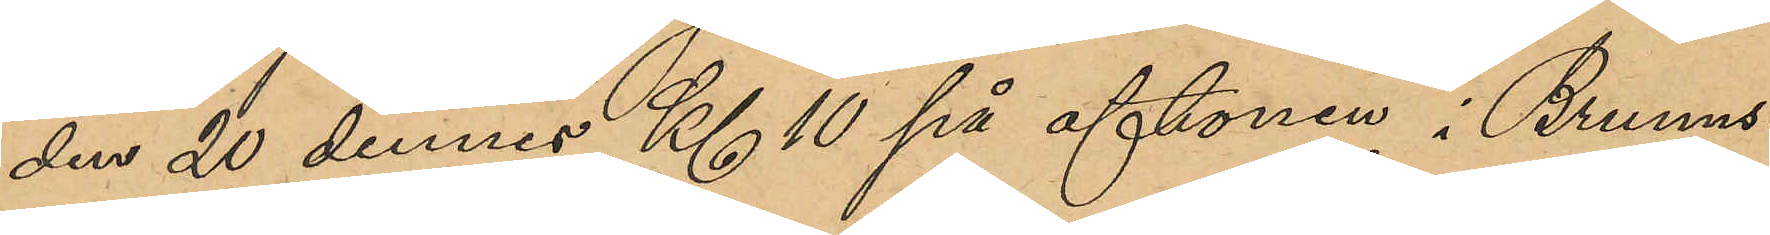den 20 dennes Kl 10 på aftonen i Brunns¬
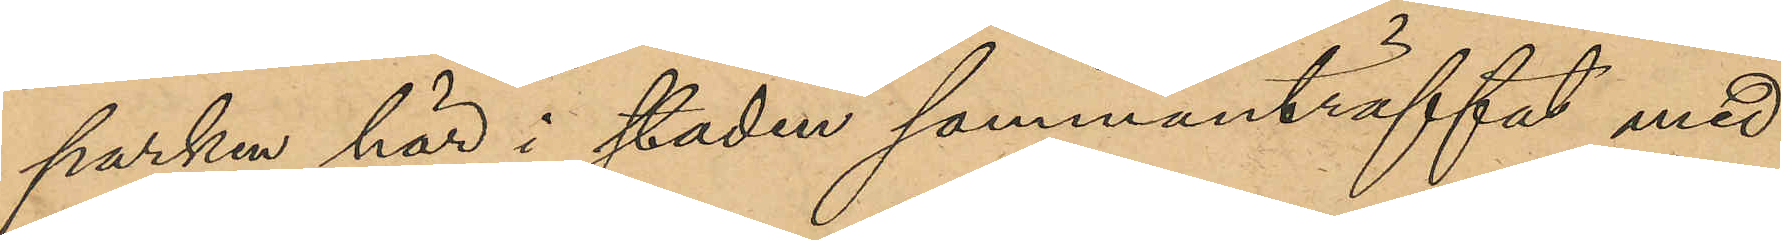parken här i staden sammanträffat med
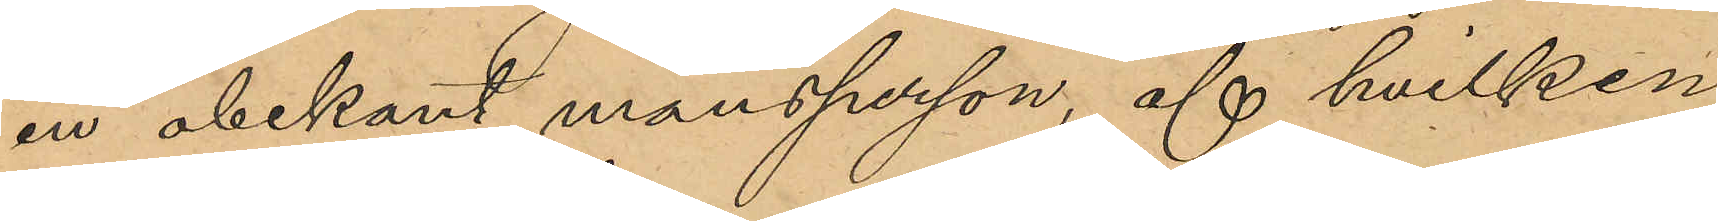en obekant mansperson, af hvilken
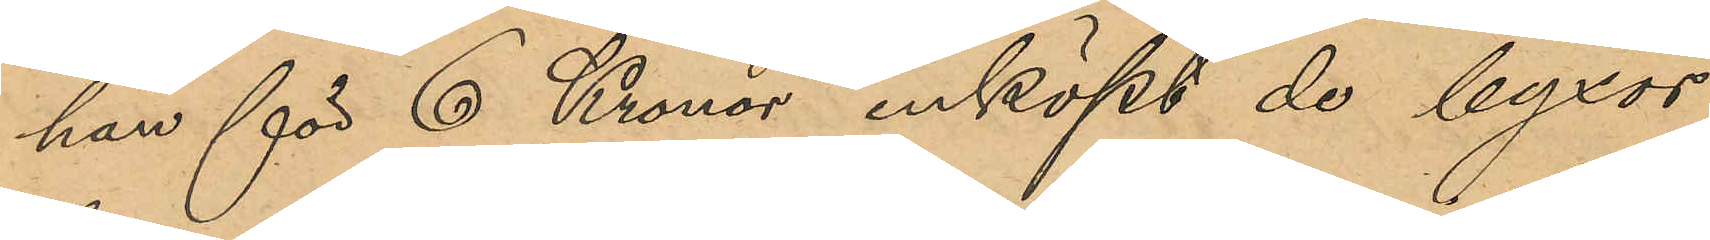han för 6 Kronor inköpt de byxor
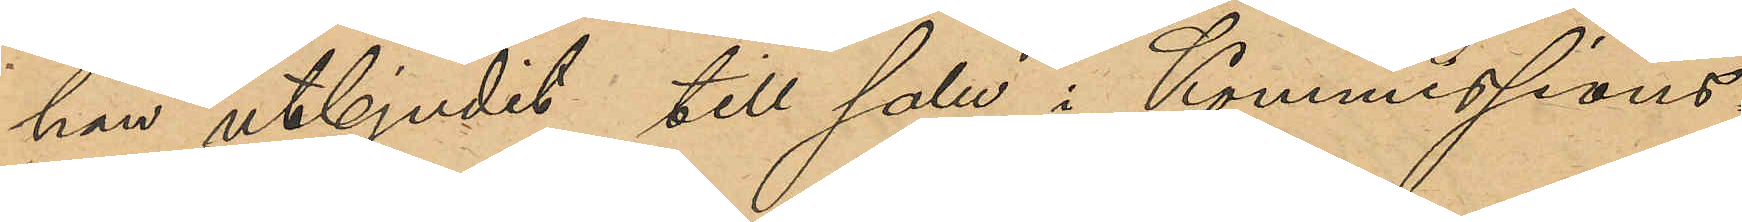han utbjudit till salu i Kommissions¬
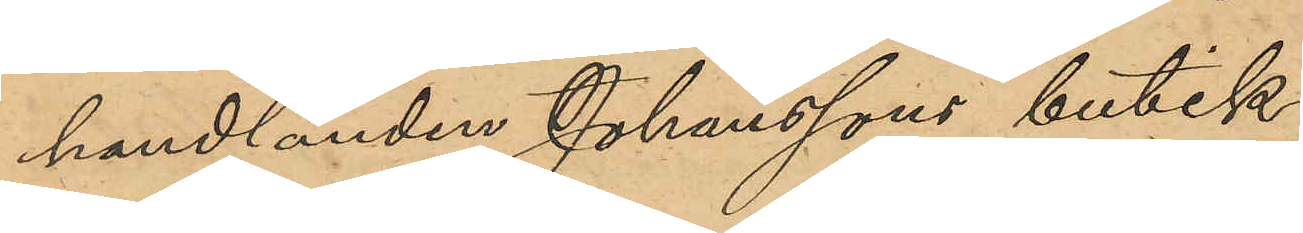handlanden Johansson butik.
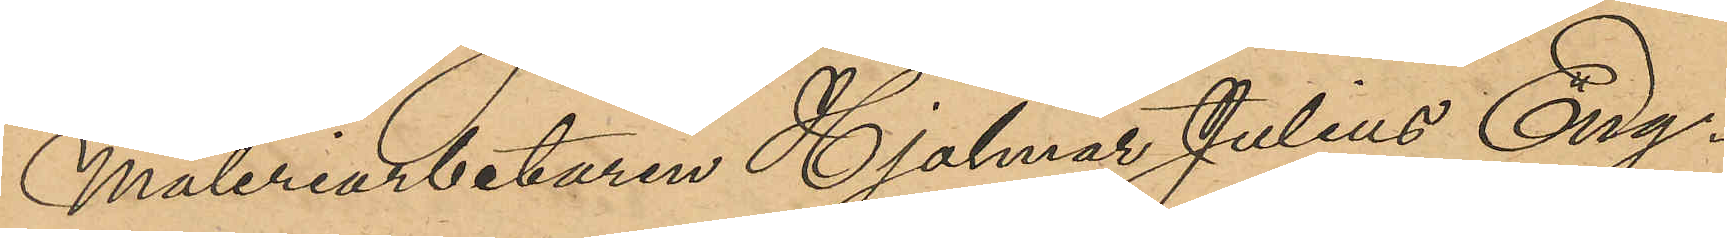Måleriarbetaren Hjalmar Julius Eng¬
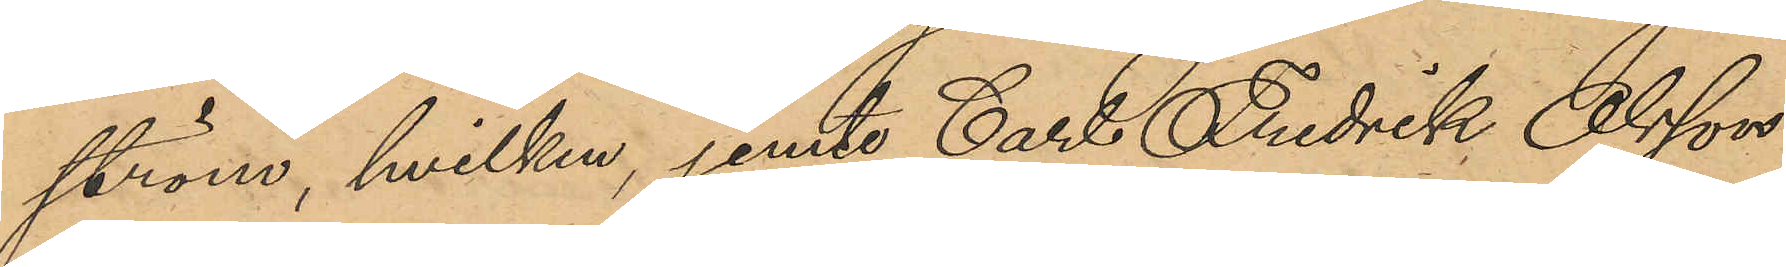ström, hvilken, jemte Carl Fredrik Olsson
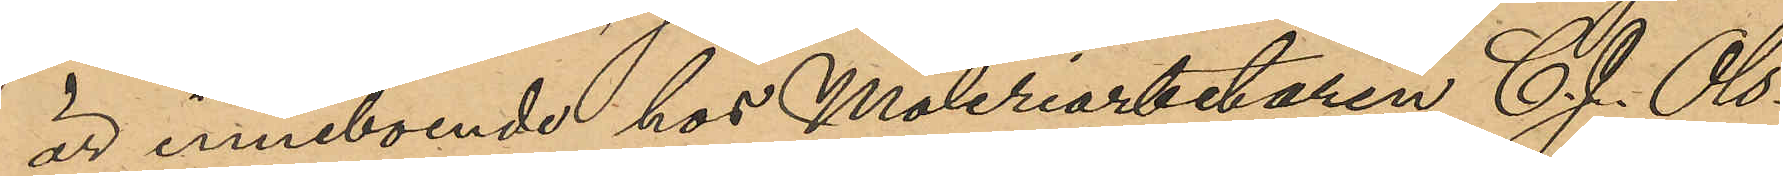är inneboende hos Måleriarbetaren C. J. Ols¬
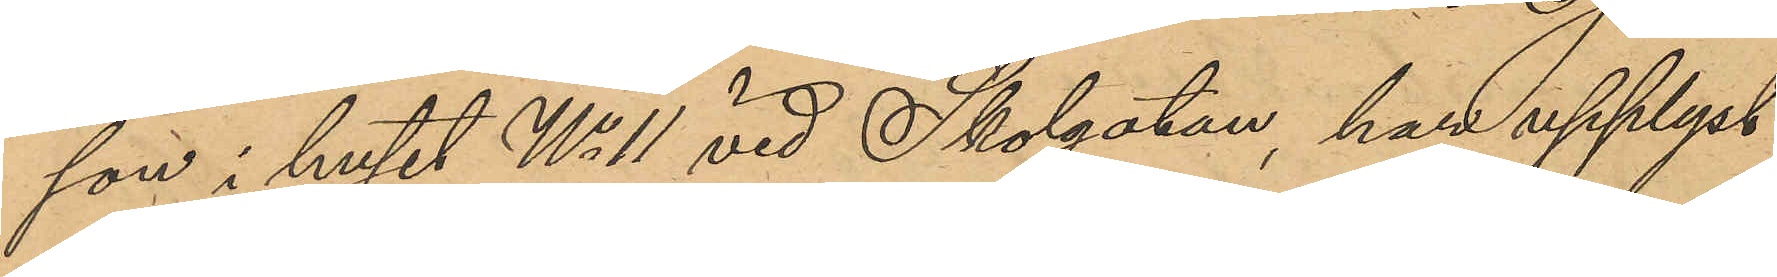son i huset No 11 vid Skolgatan, har upplyst,
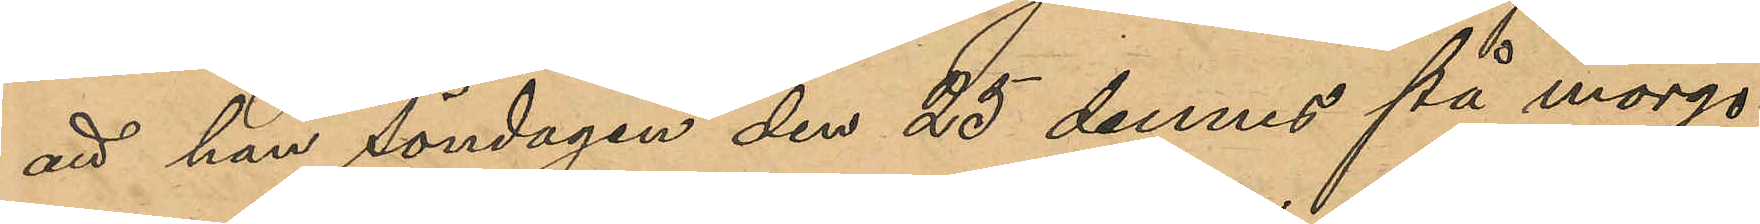att han söndagen den 25 dennes på morgo¬
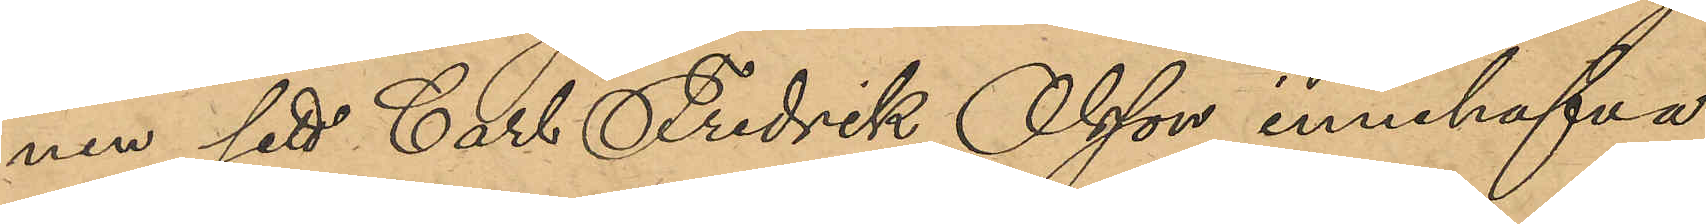nen sett Carl Fredrik Olsson innehafva
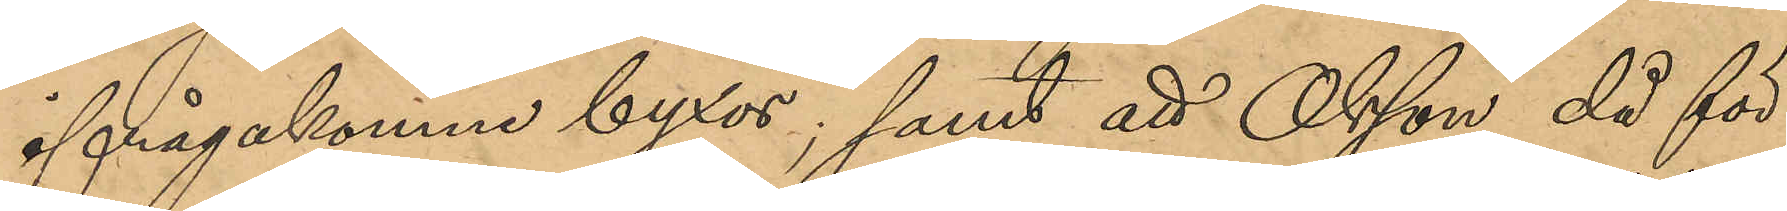ifrågakomne byxor; samt att Olsson då för¬
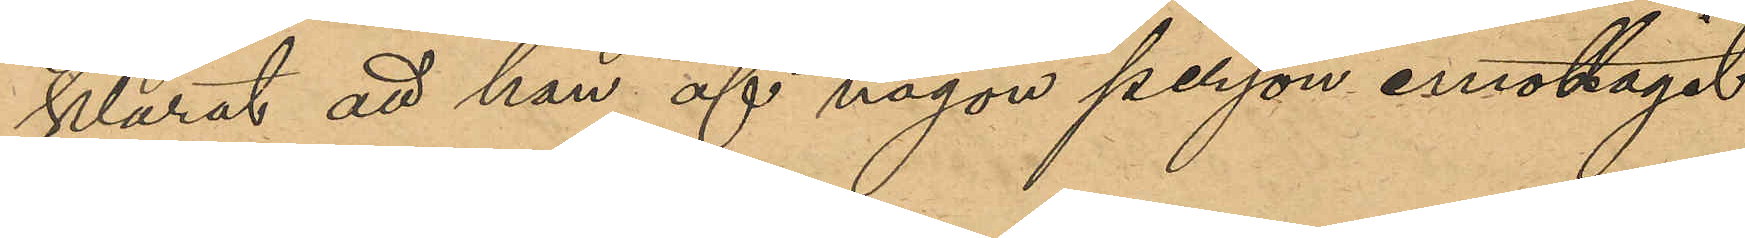klarat att han af någon person emottagit
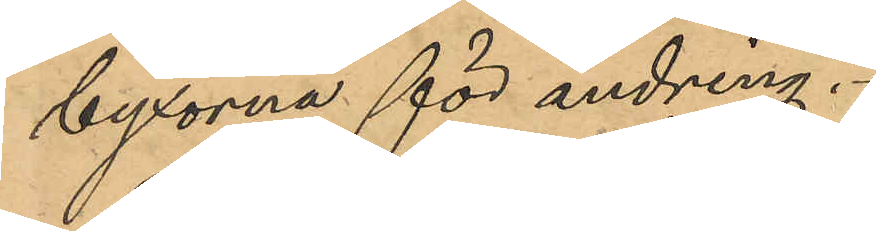byxorna för ändring.
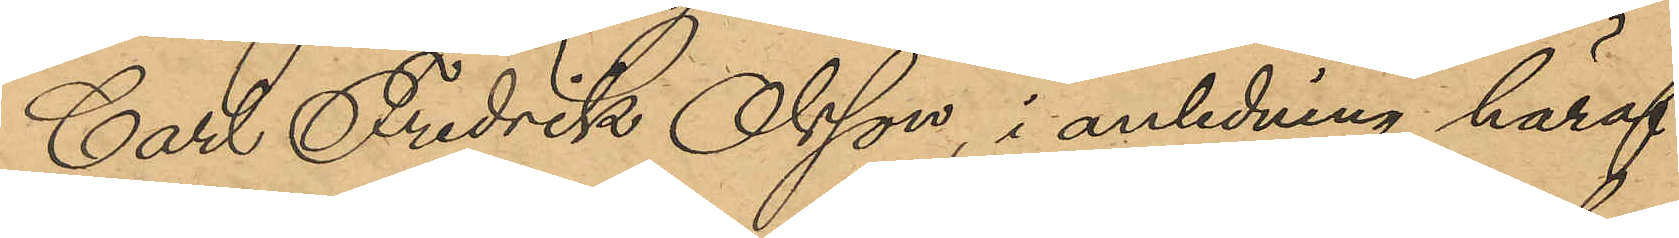Carl Fredrik Olsson, i anledning häraf
